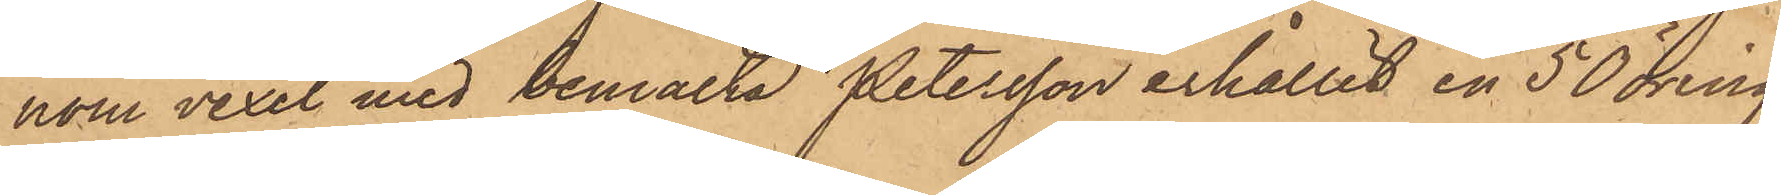nom vexel med bemälta Petersson erhållit en 50 öring
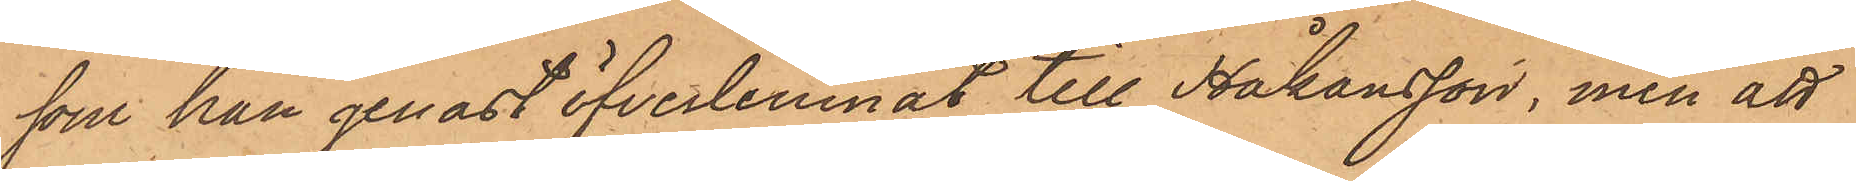som han genast öfverlemnat till Johansson, men att
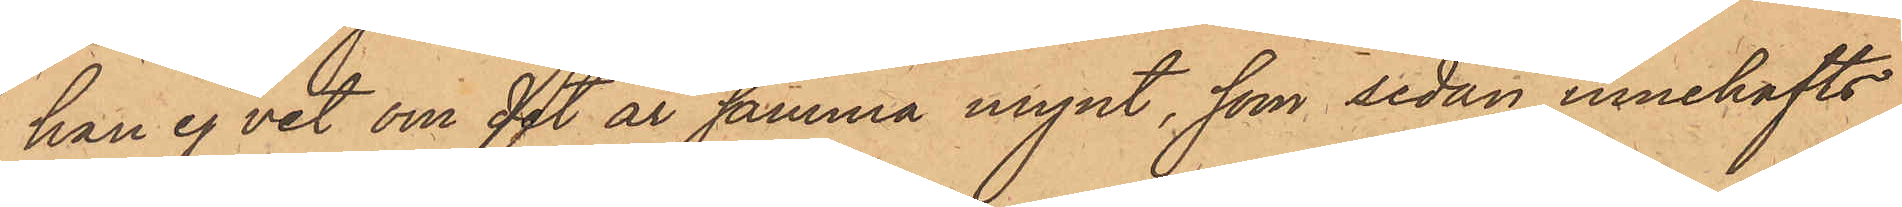han ej vet om det är samma mynt, som sedan innehafts
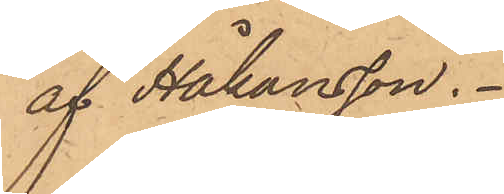af Håkansson.
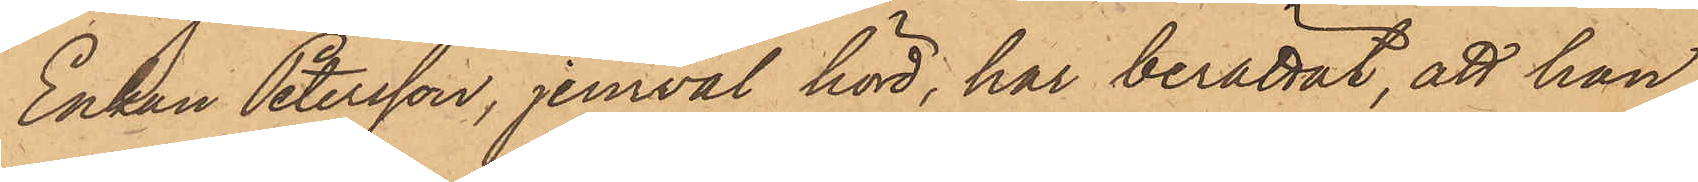Enkan Petersson, jemväl hörd, har berättat, att han
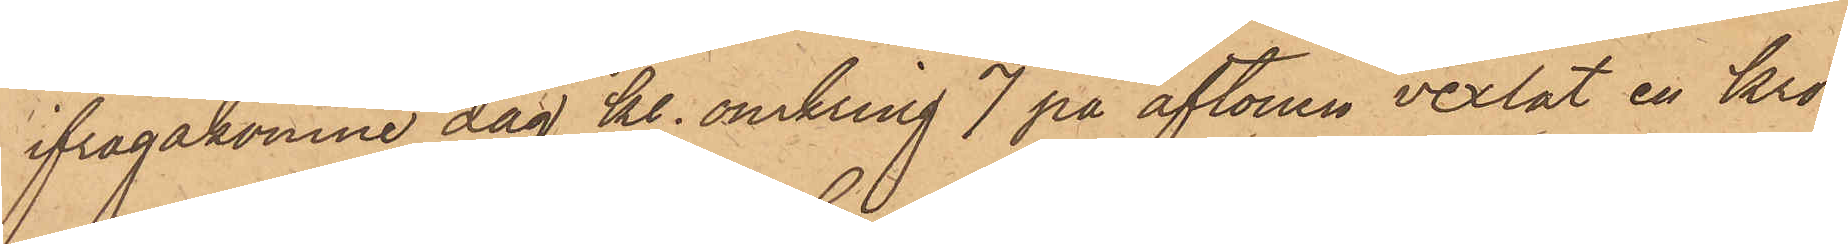ifrågakomne dag kl. omkring 7 på aftonen vexlat en kro¬
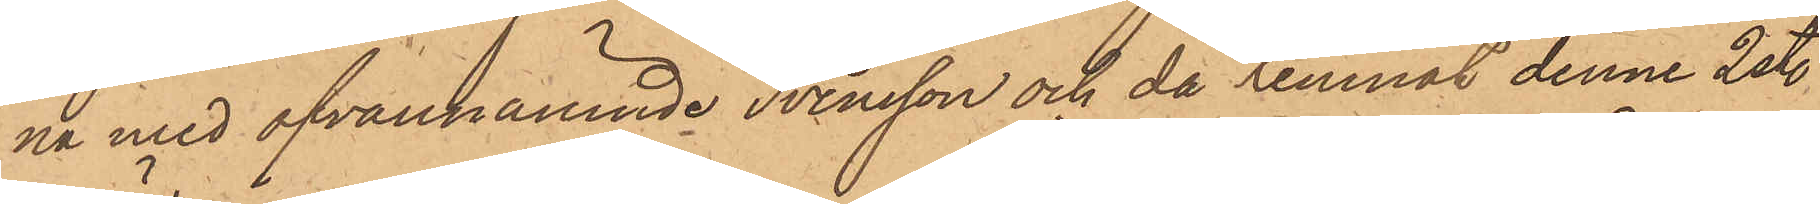na med ofvannämnde Svensson och då lemnat denne 2 st.
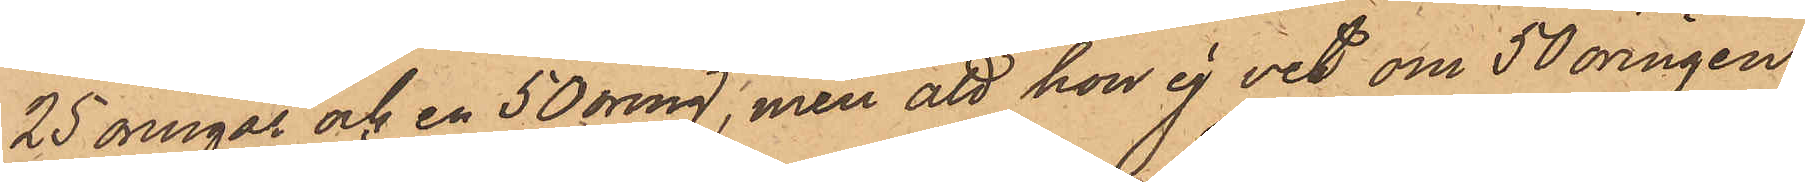25 öringar och en 50 öring, men att hon ej vet om 50 öringen
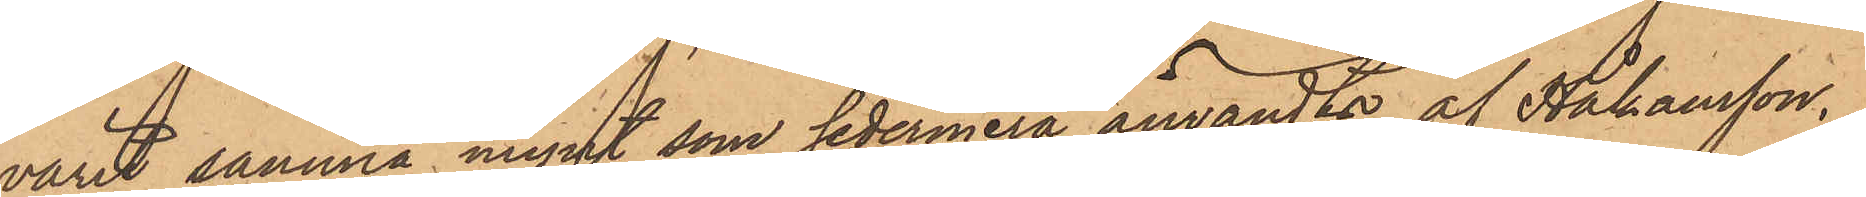varit samma mynt, som sedermera användts af Håkansson.
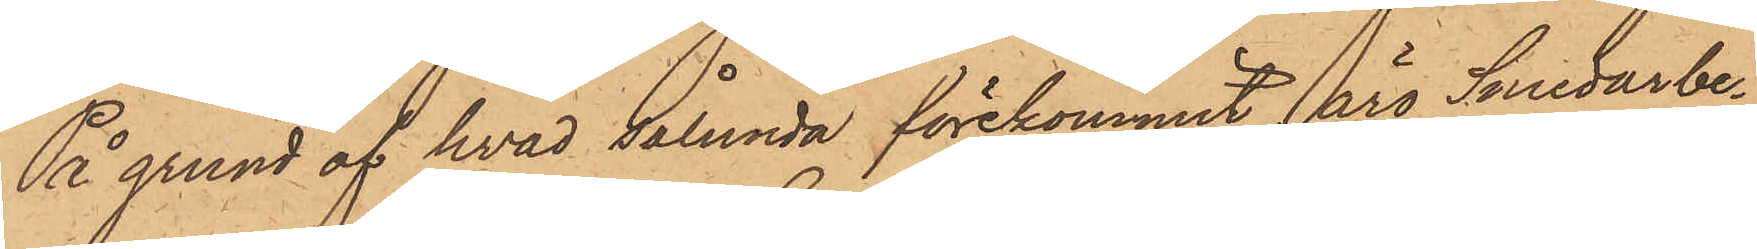På grund af hvad sålunda förekommit, äro Smedarbe¬
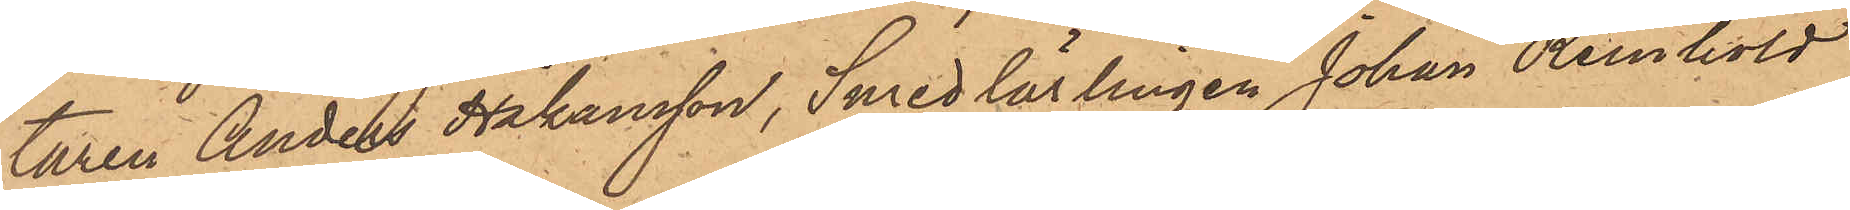taren Anders Håkansson, Smedlärlingen Johan Reinhold
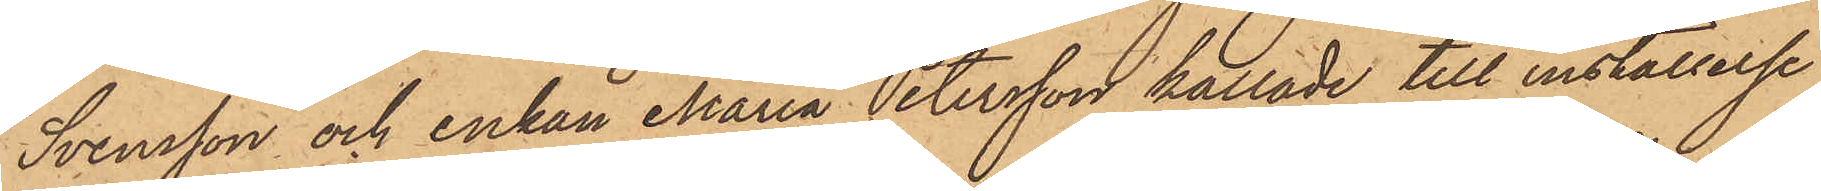Svensson och enkan Maria Petersson kallade till inställelse
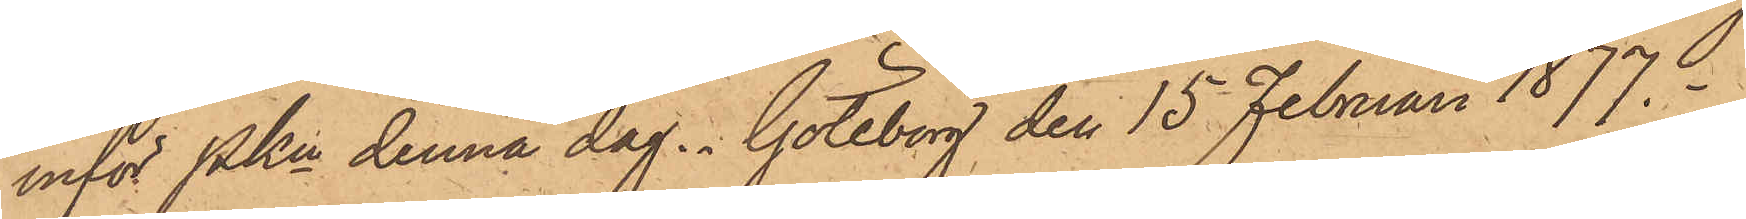inför Pkn denna dag. Göteborg den 15 Februari 1877.
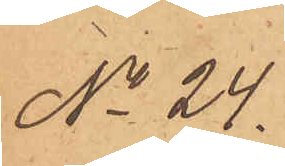No 24.
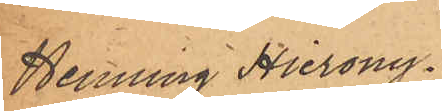Henning Hierony¬
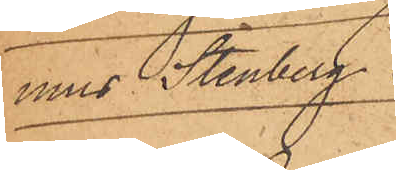mus Stenberg.
